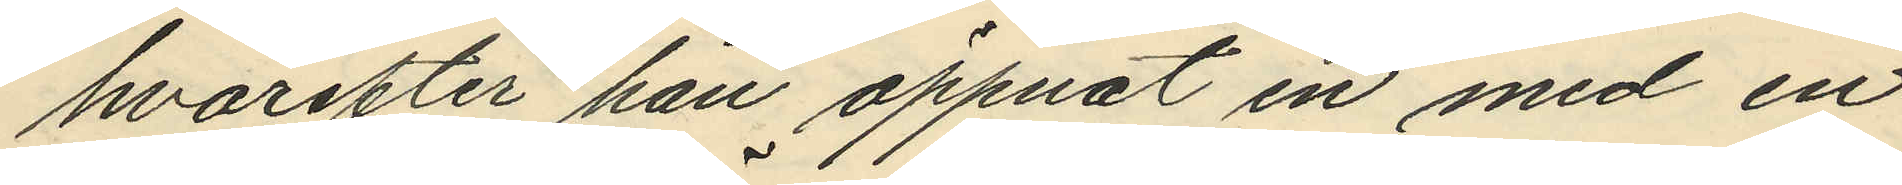hvarefter han öppnat en med en
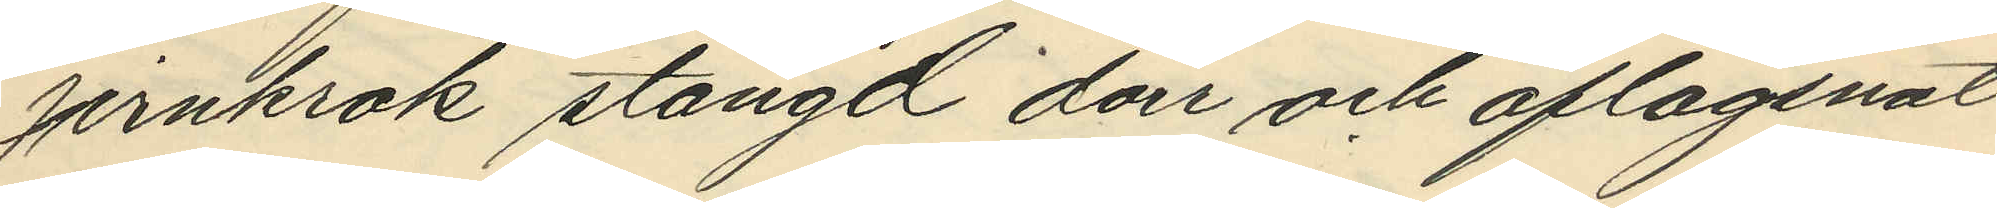jernkrok stängd dörr och aflägsnat
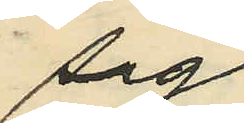sig;
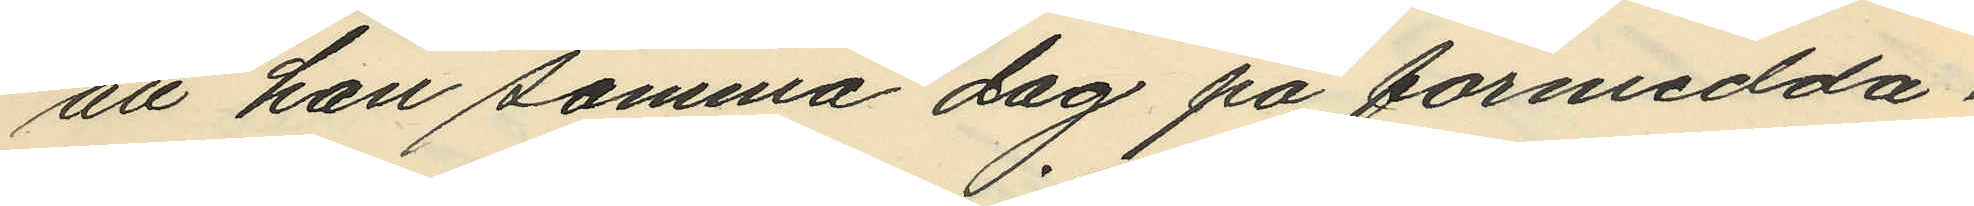att han samma dag på förmidda¬
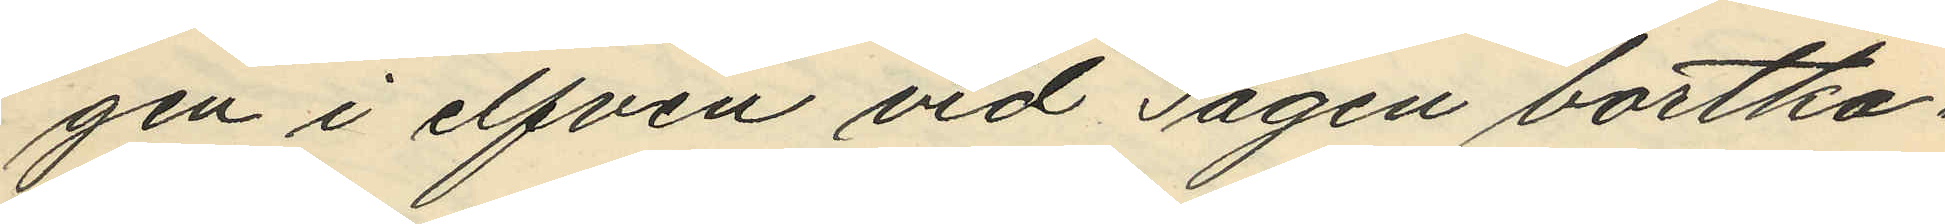gen i elfven vid Sågen bortka¬
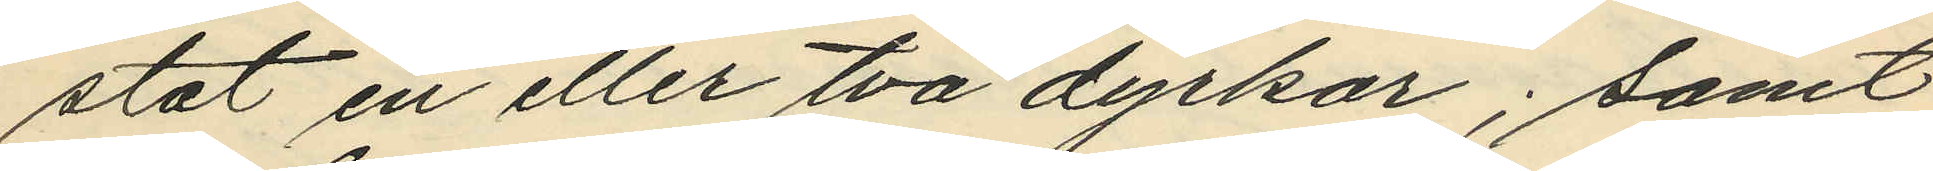stat en eller två dyrkar; samt
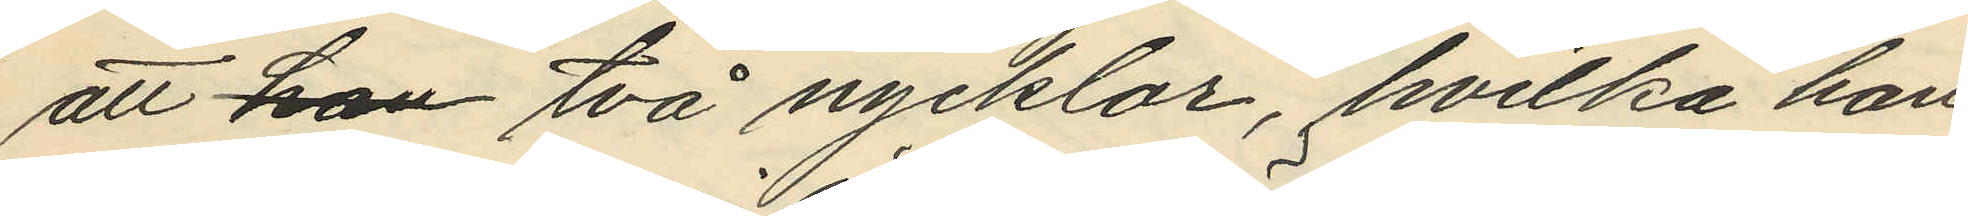att han två nycklar, hvilka han
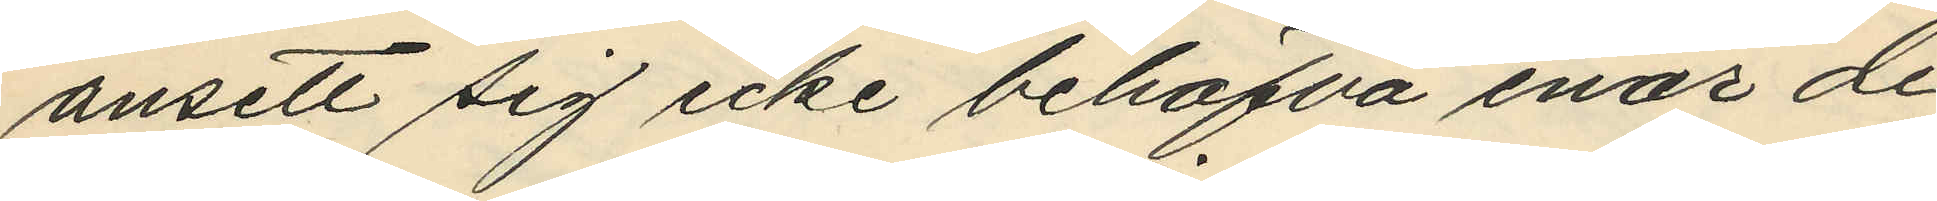ansett sig icke behöfva enär de
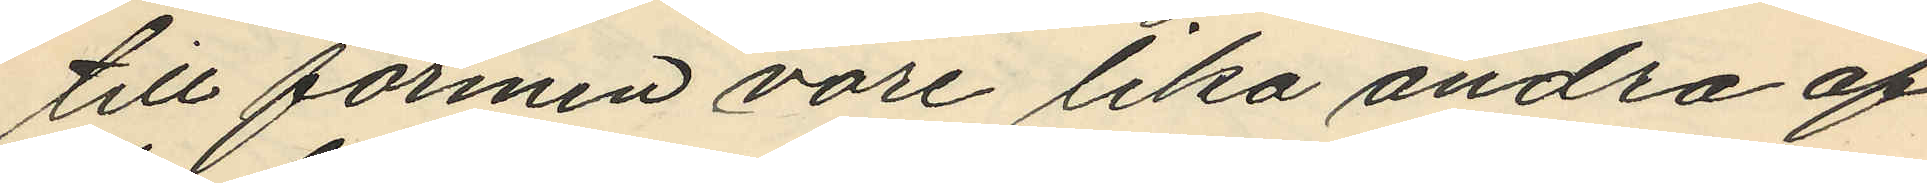till formen vore lika andra af
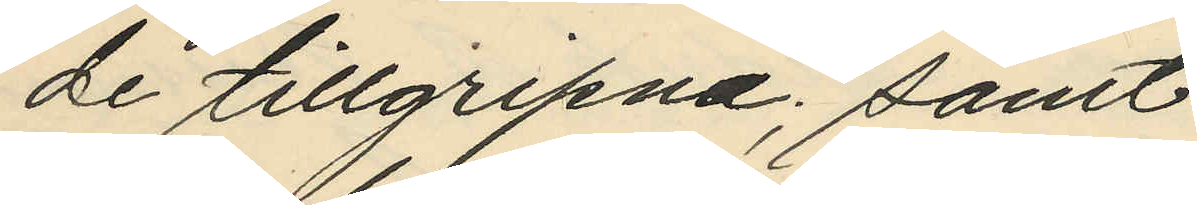de tillgripne; samt
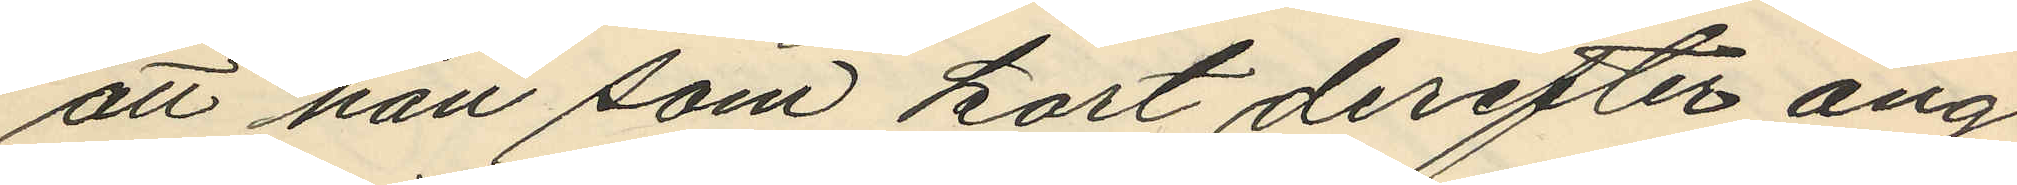att han som kort derefter ång¬
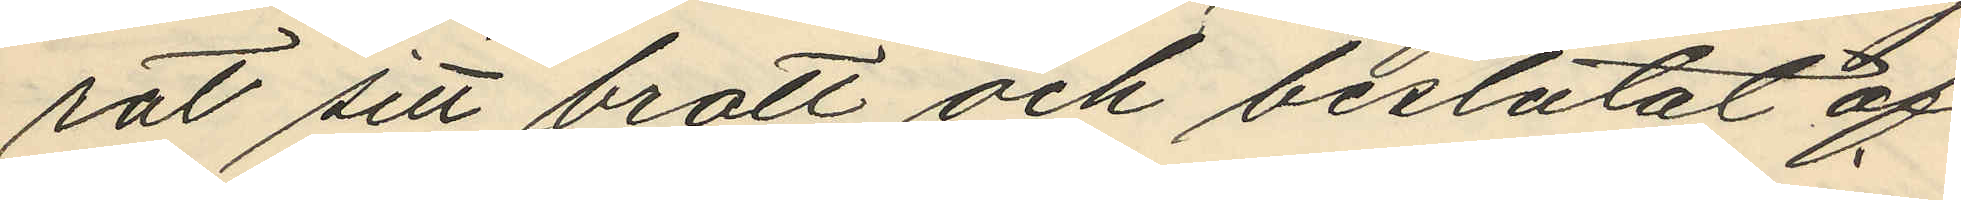rat sitt brott och beslutat af¬
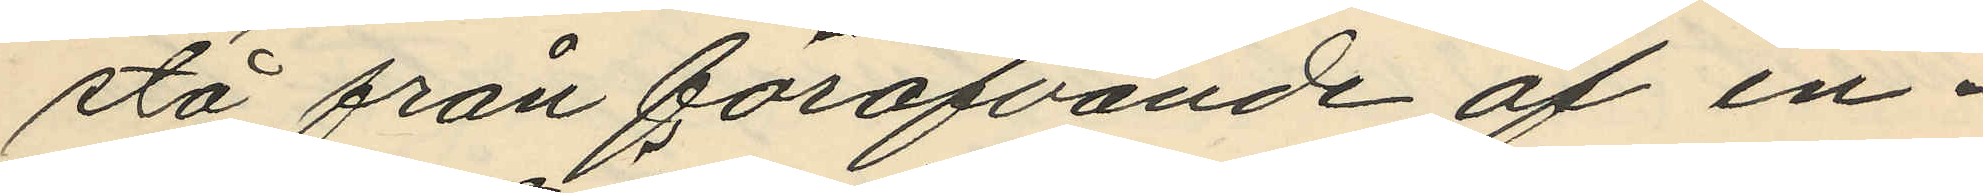stå från föröfvande af in¬
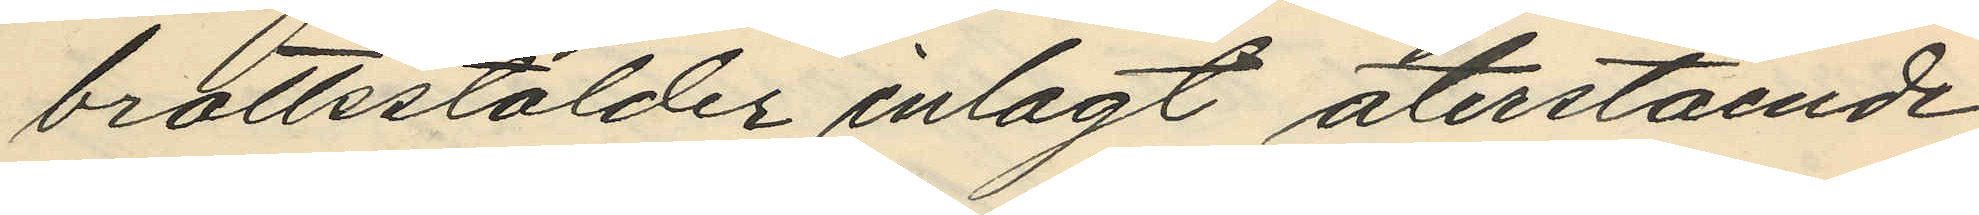brottsstölder inlagt återstående
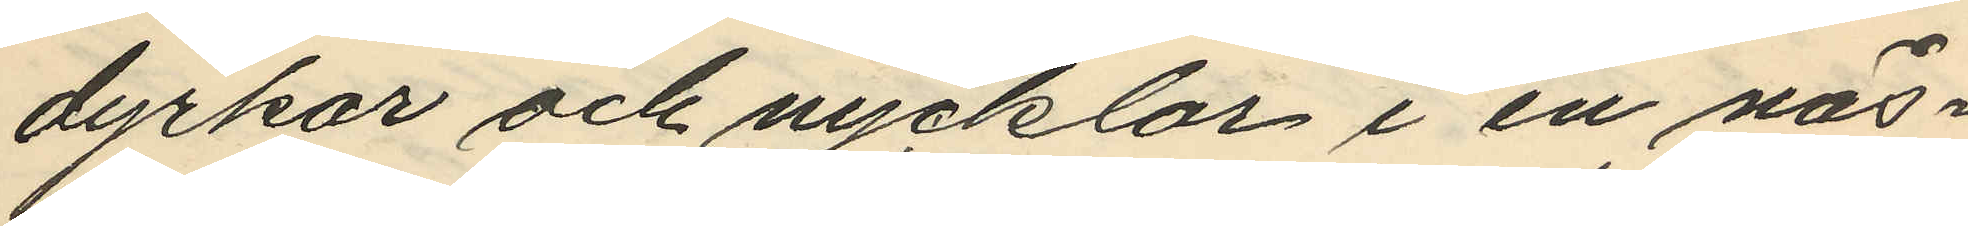dyrkar och nycklar i en näs¬
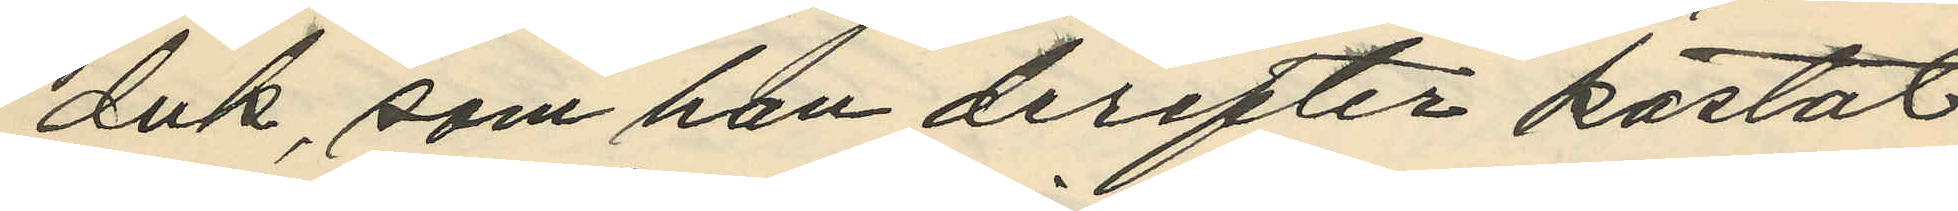duk, som han derefter kastat
